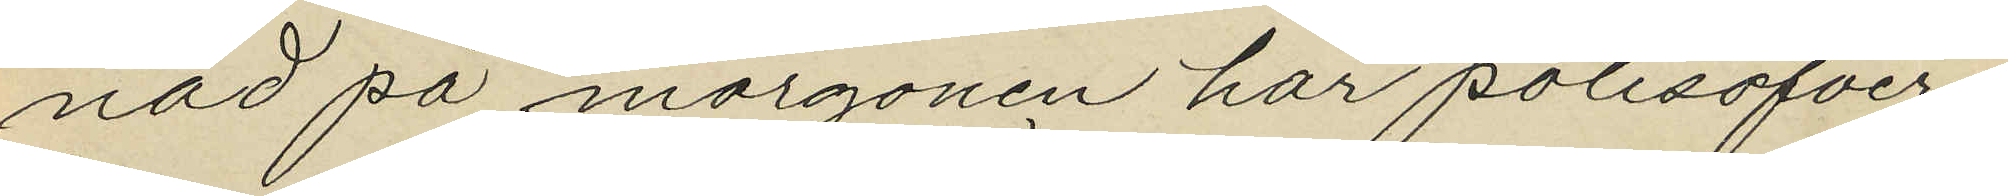nad på morgonen har polisöfver¬
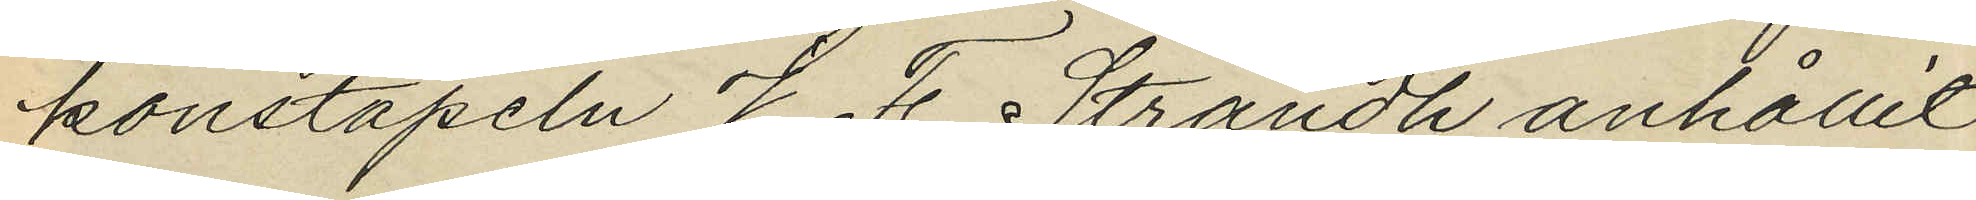konstapeln J. F. Strandh anhållit
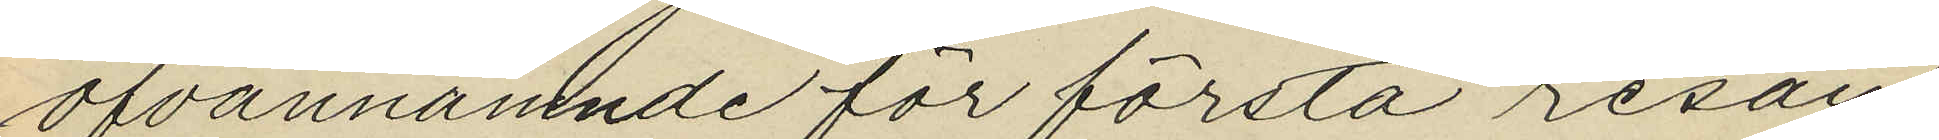ofvannämnde för första resan
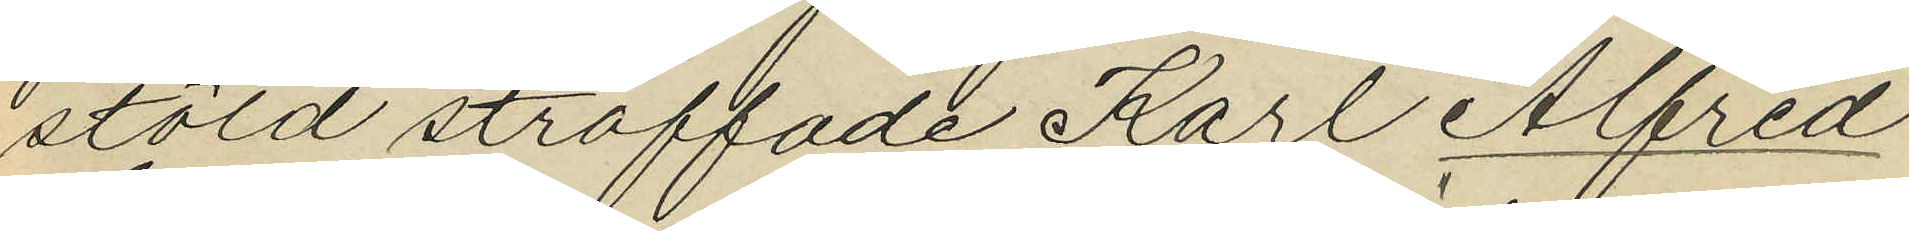stöld straffade Karl Alfred
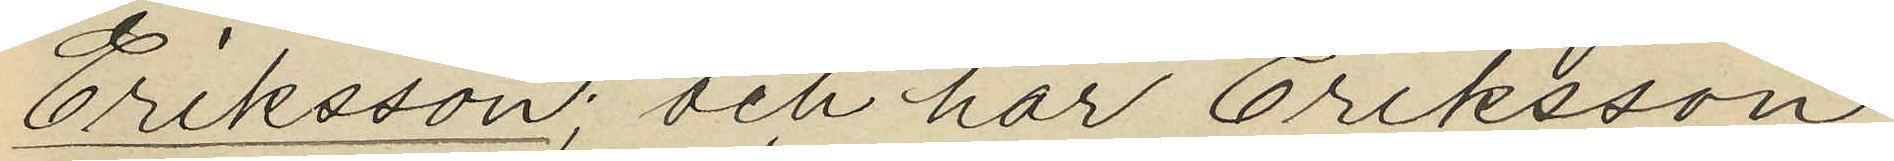Eriksson; och har Eriksson
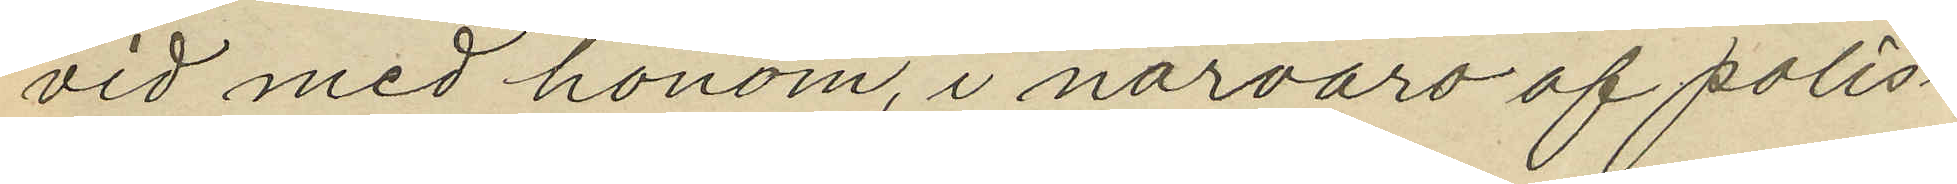vid med honom, i närvaro af polis¬
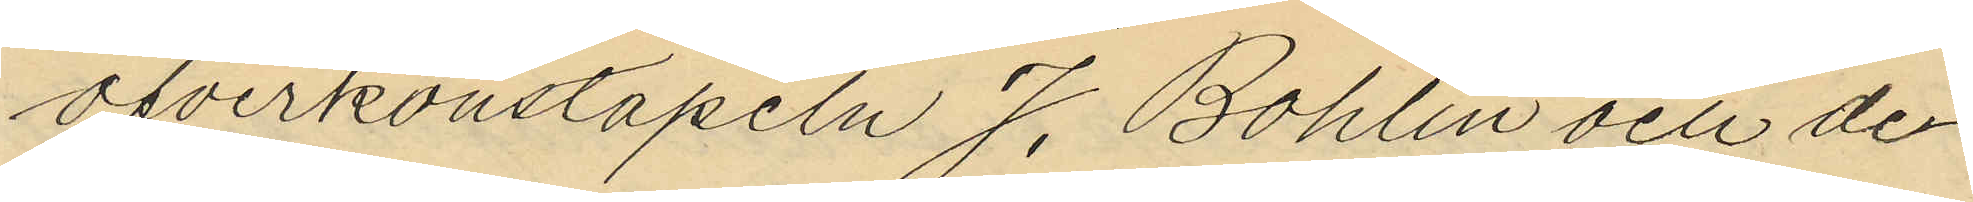öfverkonstapeln J. Bohlin och de¬
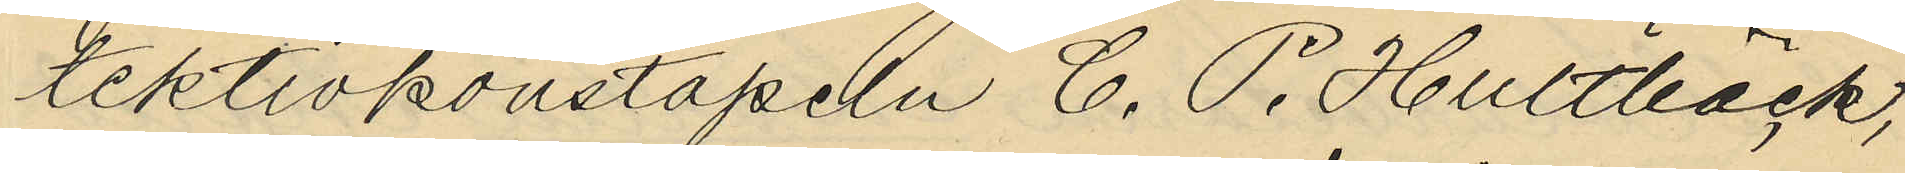tektivkonstapeln C. P. Hultbäck,
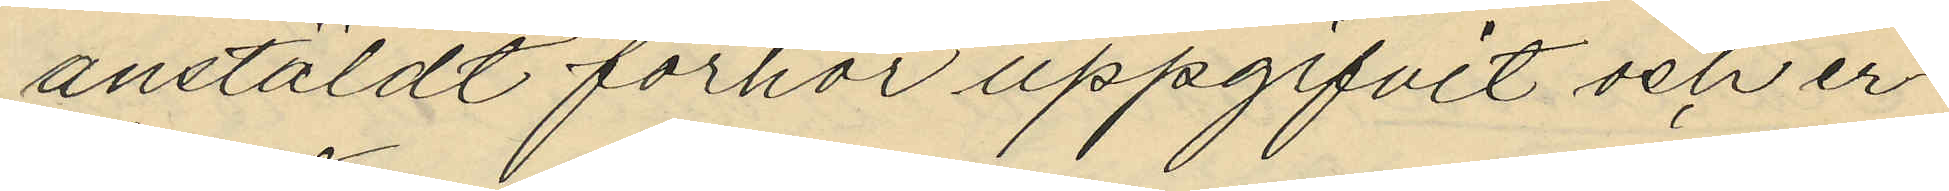anstäldt förhör uppgifvit och er¬
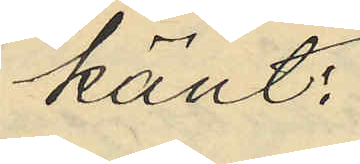känt:
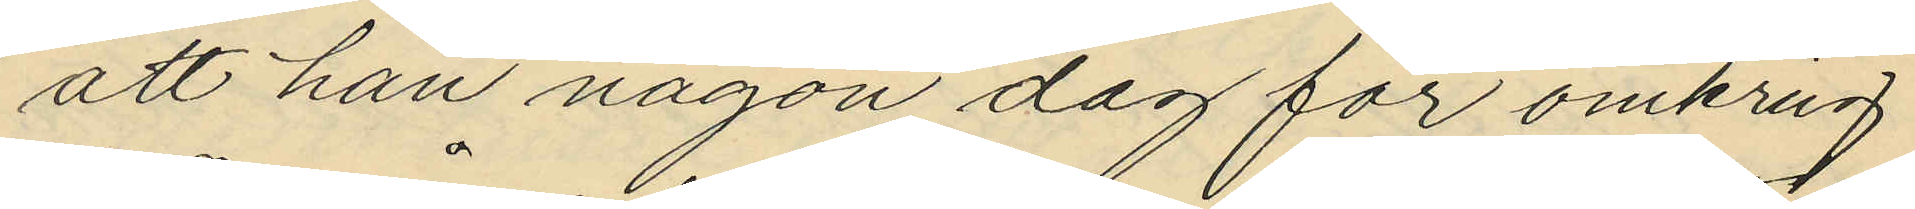att han någon dag för omkring
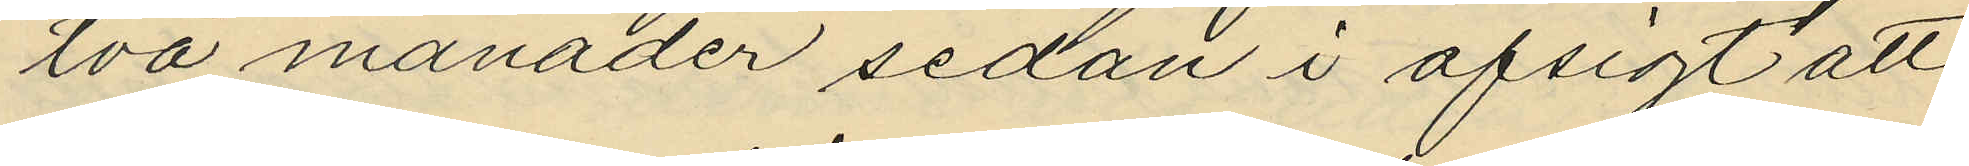två månader sedan i afsigt att
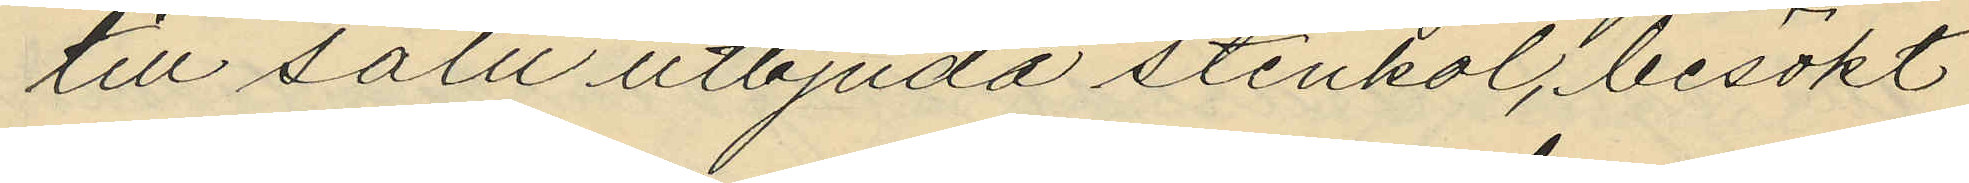till salu utbjuda stenkol, besökt
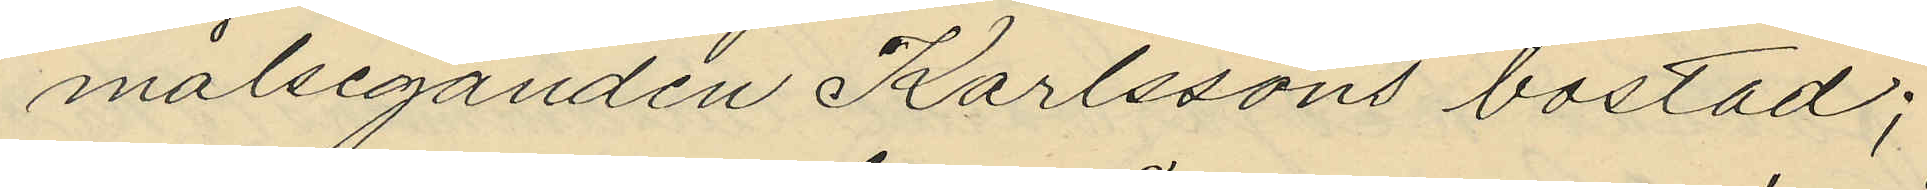målseganden Karlssons bostad;
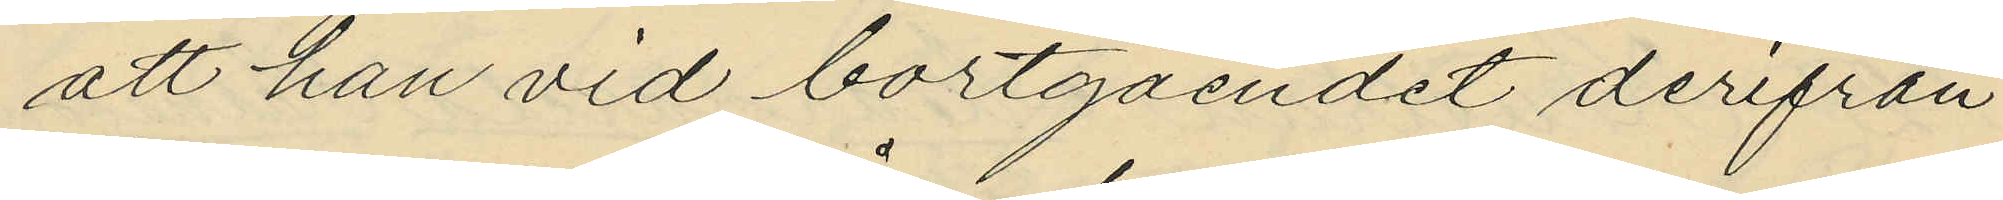att han vid bortgåendet derifrån
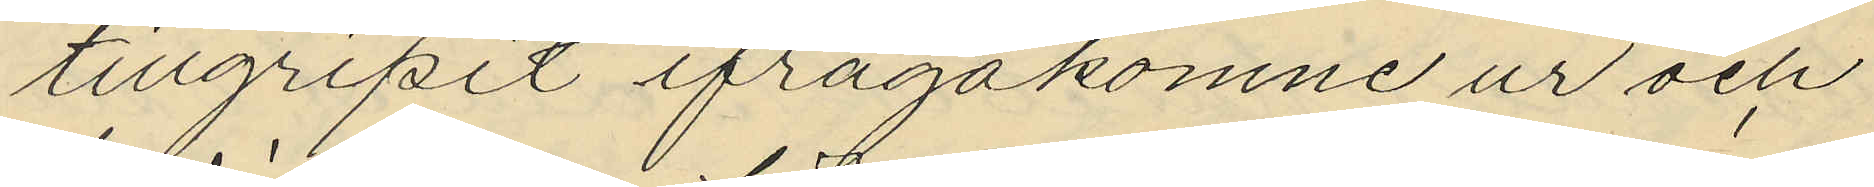tillgripit ifrågakomne ur och
